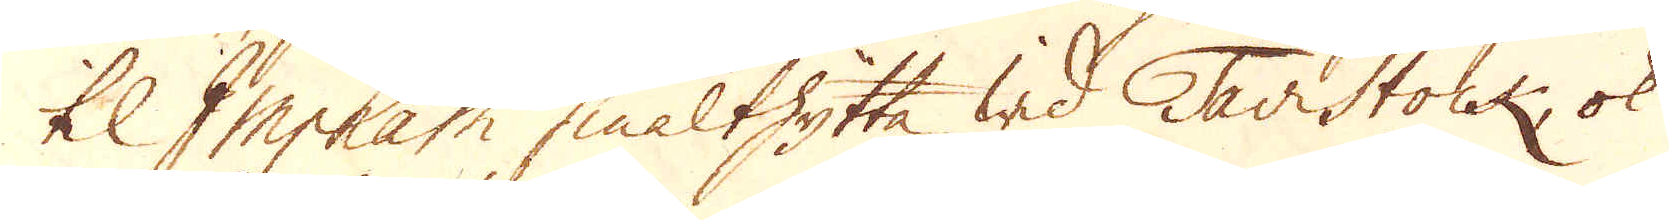til Imphain smälthytta wid Tavistock, ok
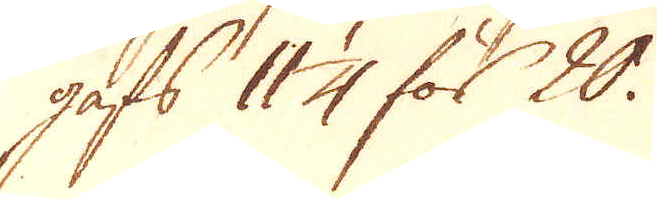gafs 11 1/4 för 20.
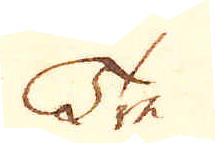Tre
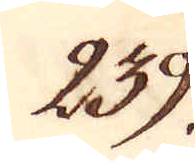239.
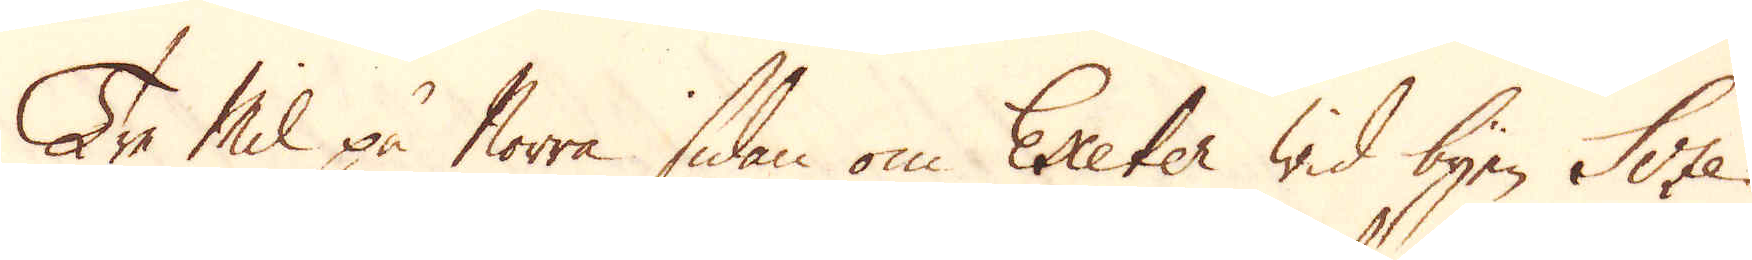Tre Mil på Norra sidan om Exeter wid byen Scze
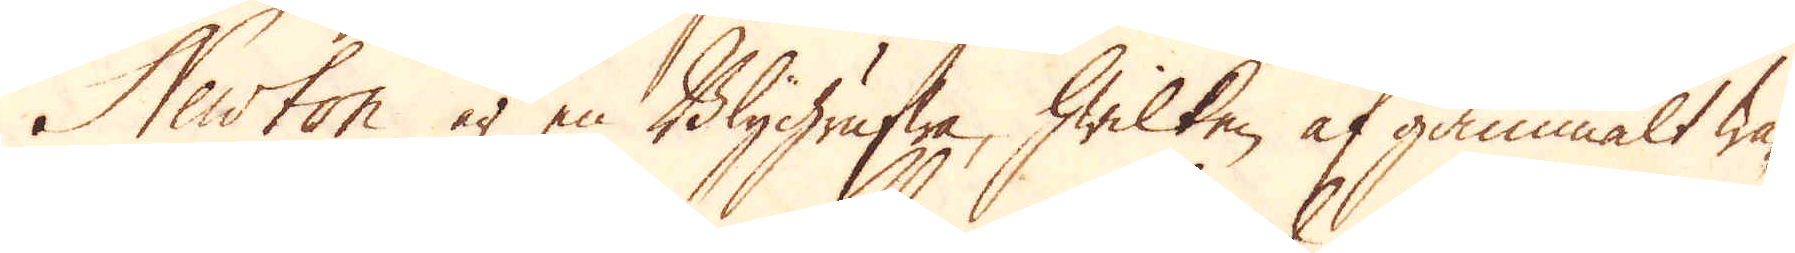Newton är en Blygrufwa, hwilken af gammalt wa-
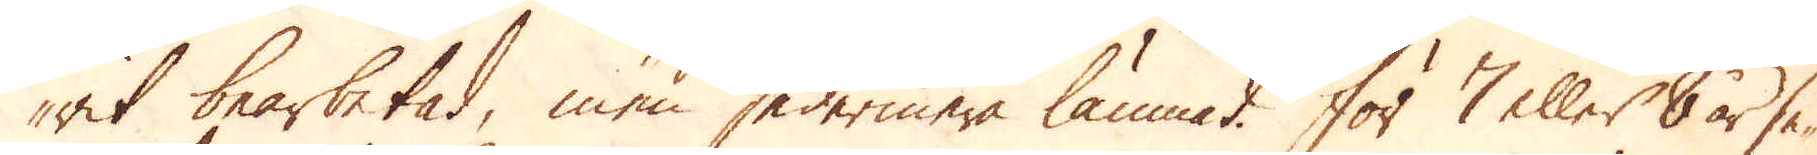rit bearbetad, men sedermera lämnat. För 7 eller 8 år se-
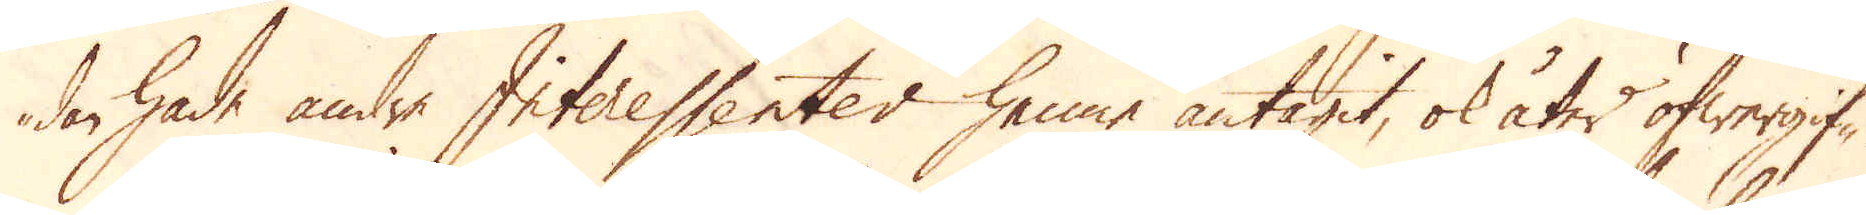dan hade andra Interessenter henne antagit, ok åter öfwergif-
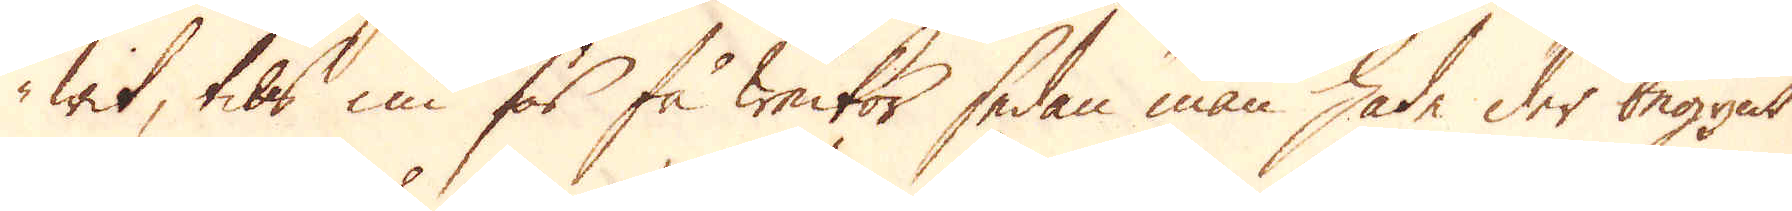wit, tils nu för få weckor sedan man hade der begynt
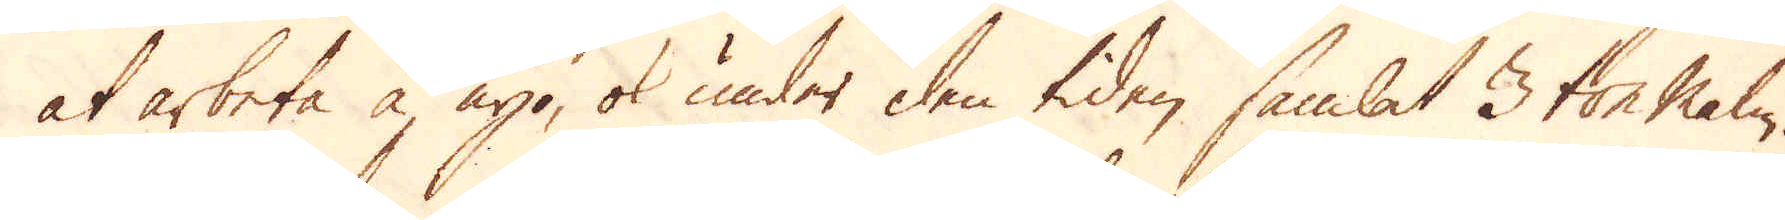at arbeta å nyo, ok under den tiden samlat 3 ton malm.
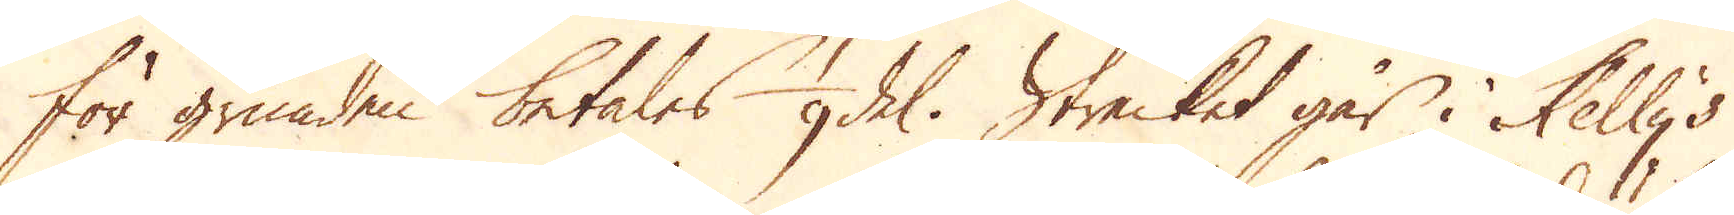För grunden betales 1/9 del. Strecket går i Kelly's
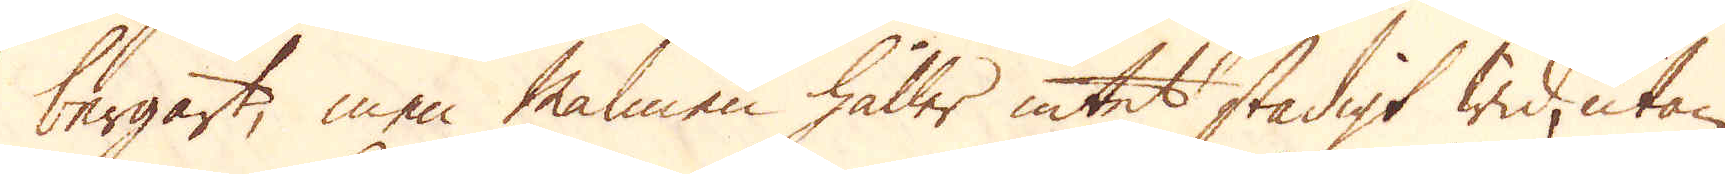bergart, men malmen håller intet stadigt wid, utan
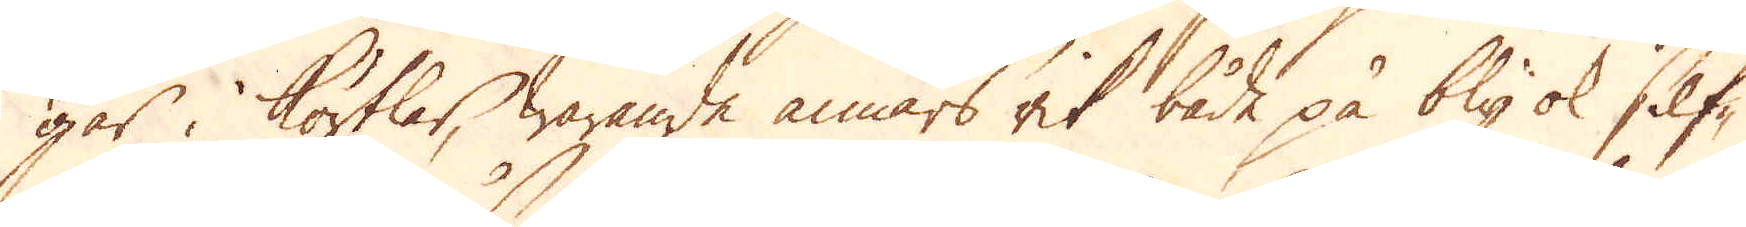går i körtlar, warande annars rik både på bly ok Silf-
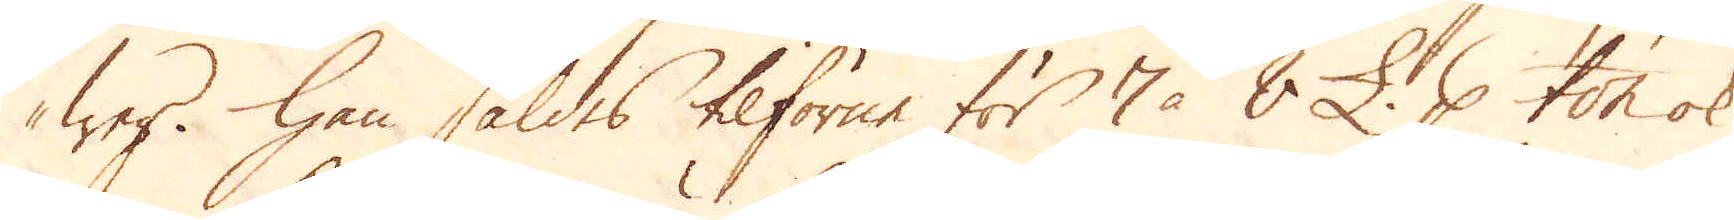wer. Han såldes tilförne för 7 à 8 £. p ton ok
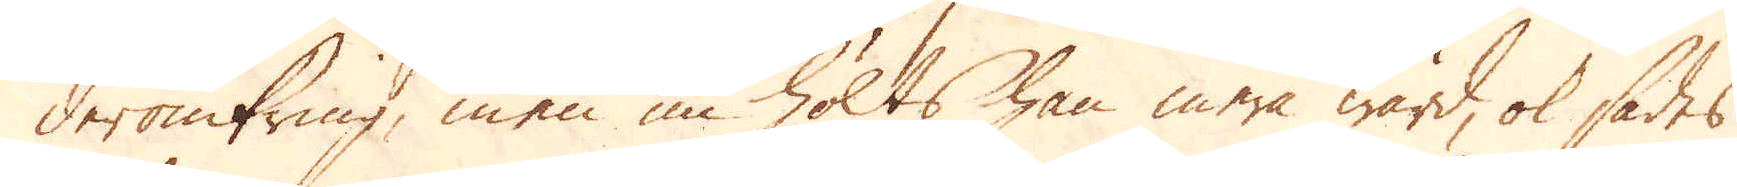deromkring, men nu hölts han mera wärd, ok sades
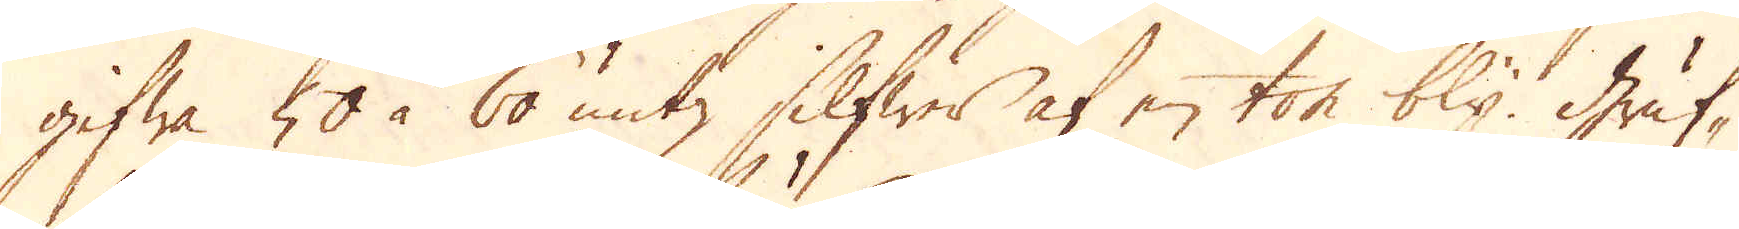gifwa 50 à 60 untz Silfwer af en ton bly Gruf-
